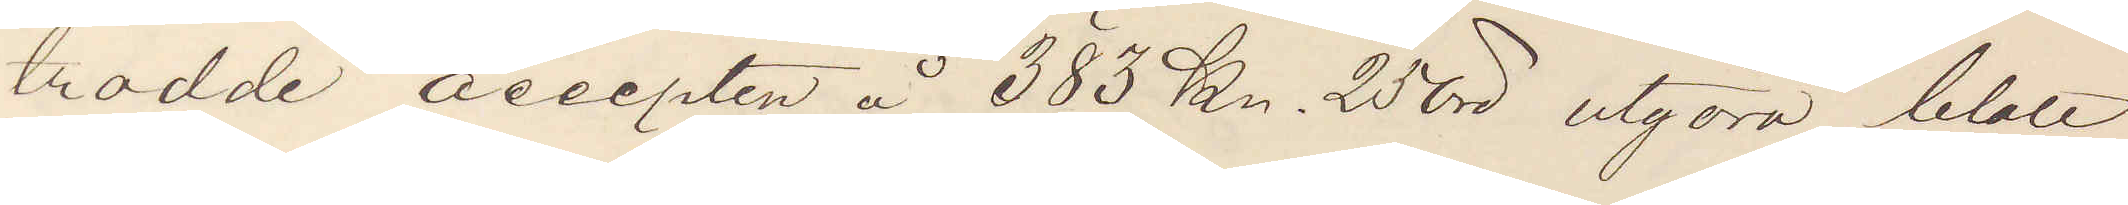trodde accepten å 383 Kr. 25 öre utgöra blott
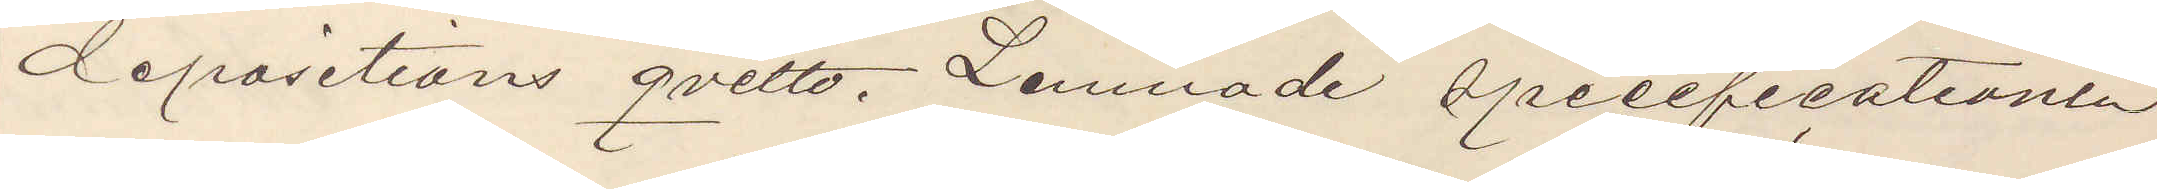depositions qvitto. Lemnade specificationen
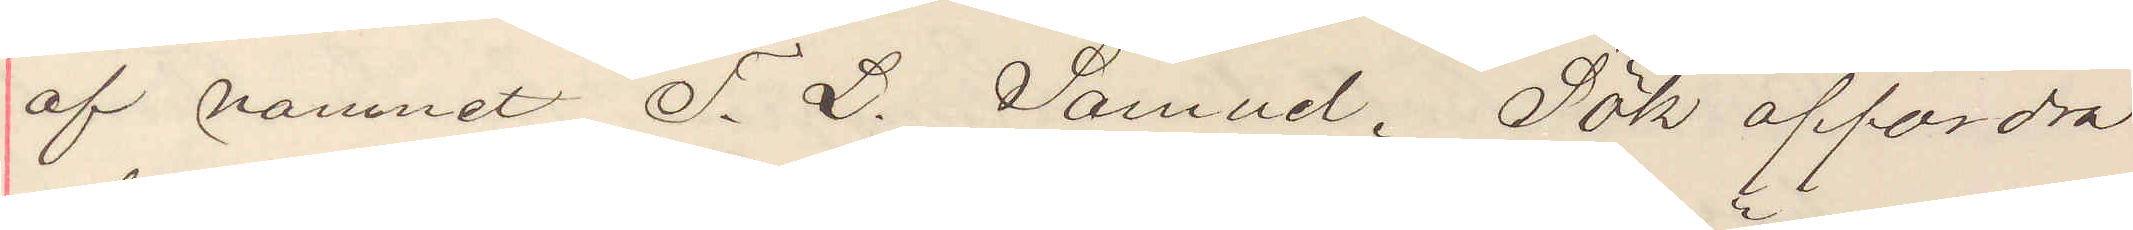af namnet F. L. Samuel. Sök affordra
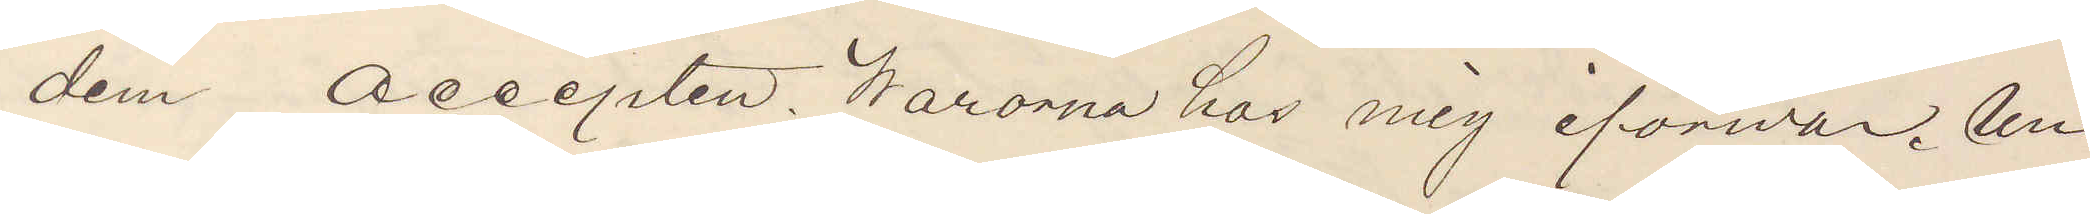dem accepten. Warorna hos mig iförwar. Un¬
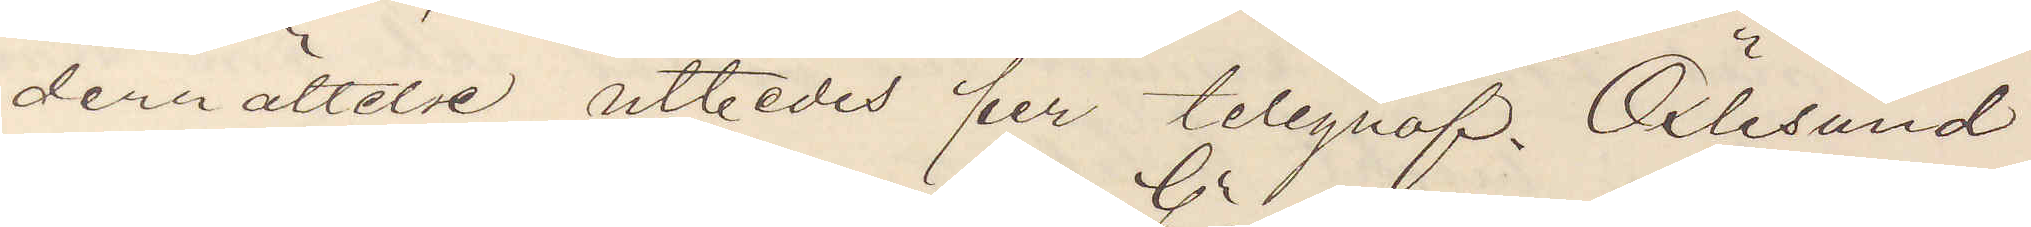derrättelse utbedes per telegraf. Oxlesund
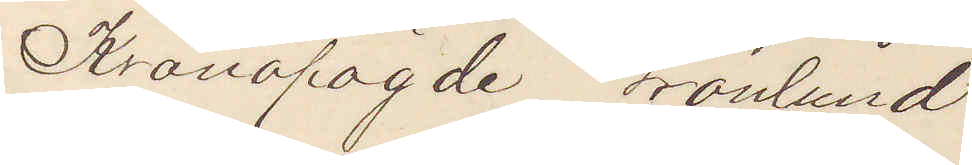Kronofogde Grönlund.
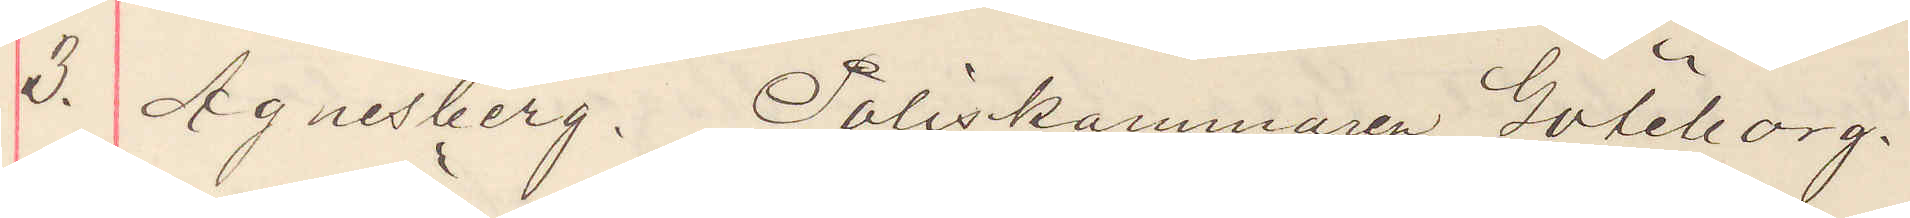3. Agnesberg. Poliskammaren Göteborg.
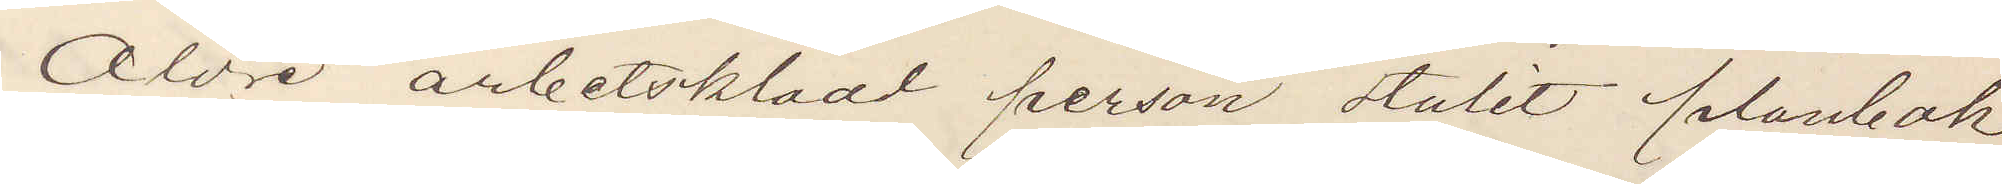Äldre arbetsklädd person stulit plånbok
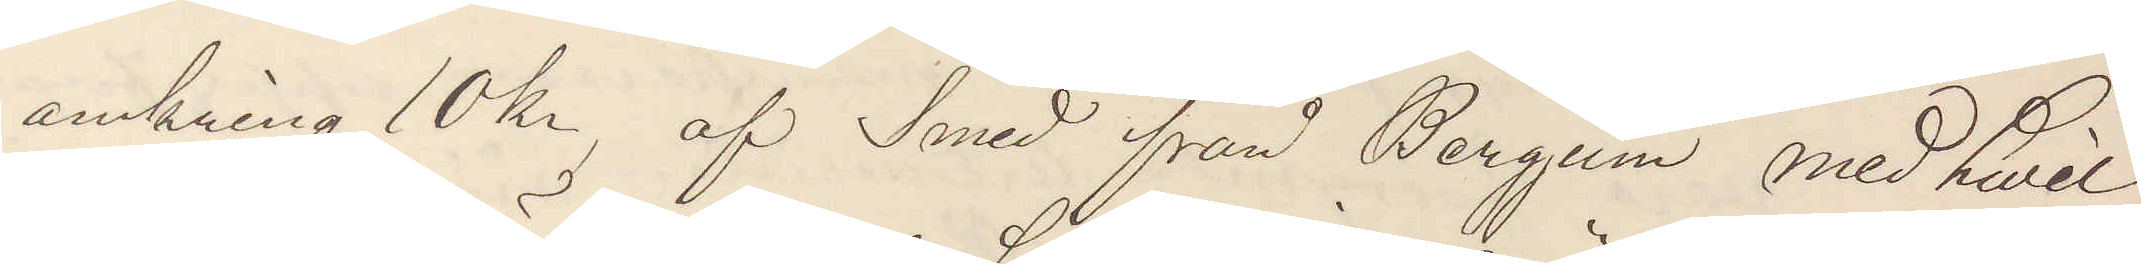omkring 10 kr, af Smed från Bergjum med hvil¬
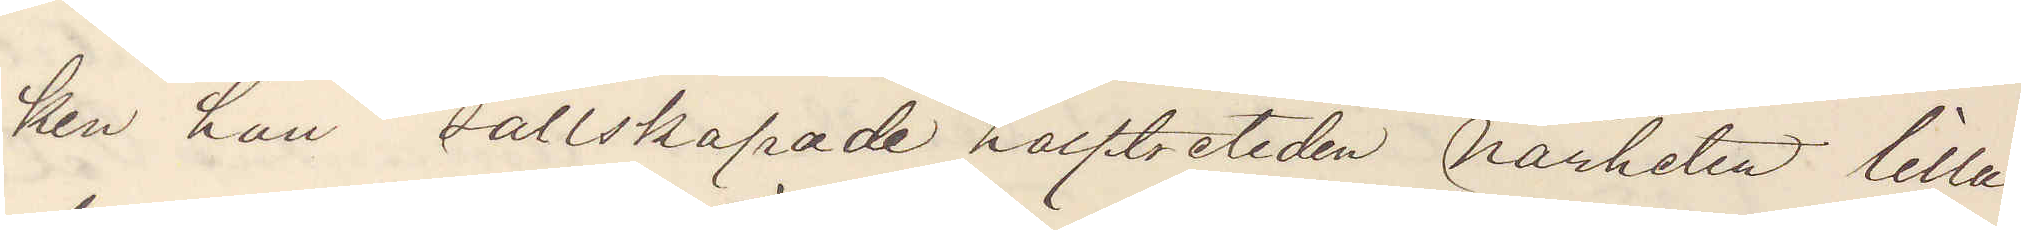ken han sällskapade halftretiden närheten lilla
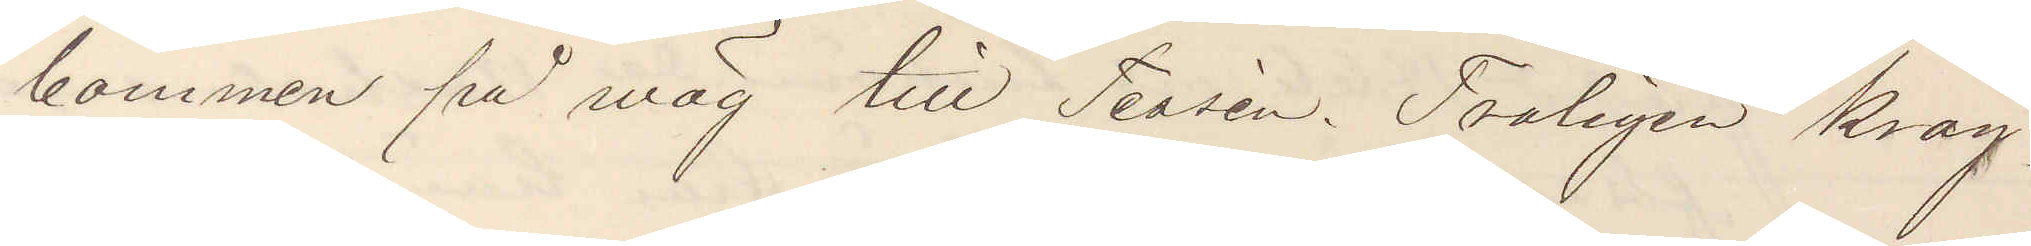bommen på väg till Tessén Troligen krog¬
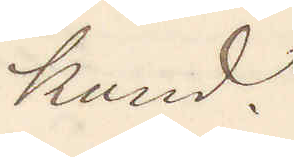kund.
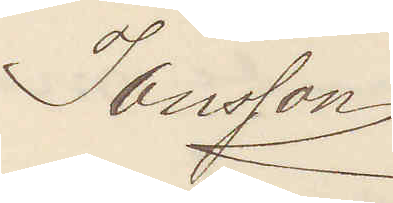Jansson
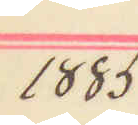1885
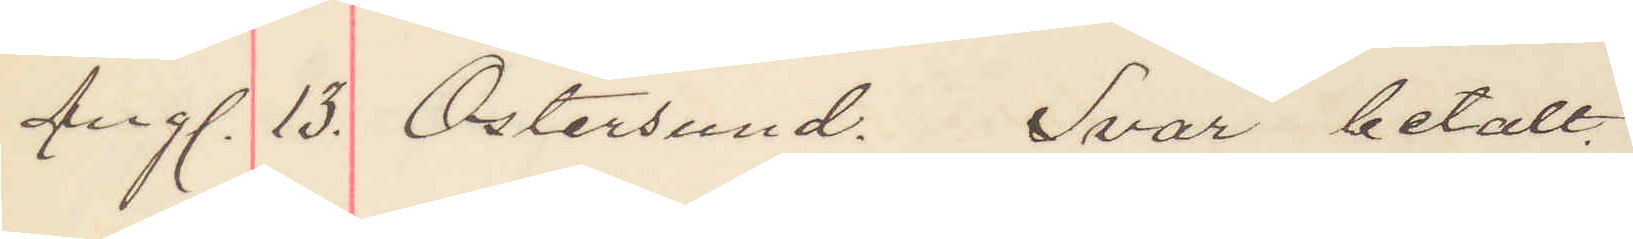Aug. 13. Östersund. Svar betalt.
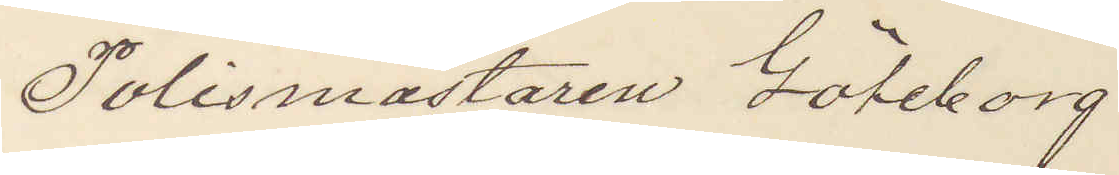Polismästaren Göteborg.
